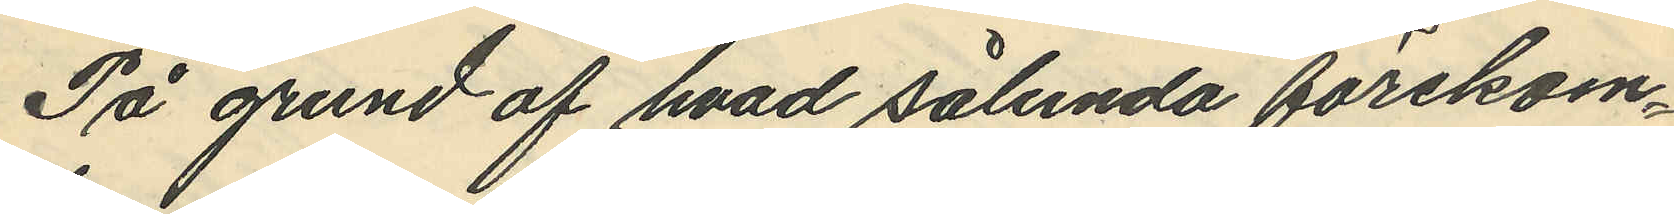På grund af hvad sålunda förekom¬
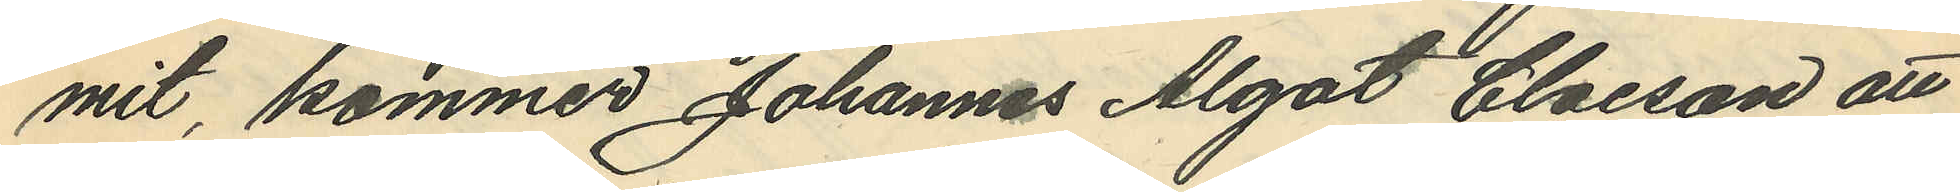mit, kommer Johannes Algot Claeson att
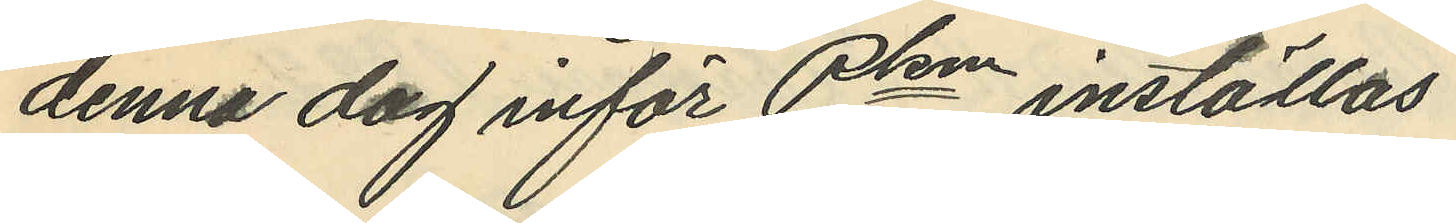denna dag inför Pkn inställas.
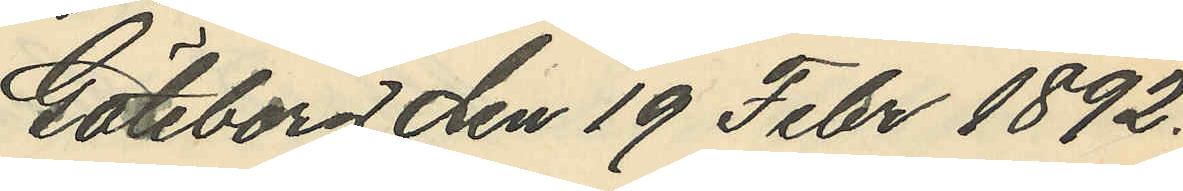Göteborg den 19 Febr 1892.
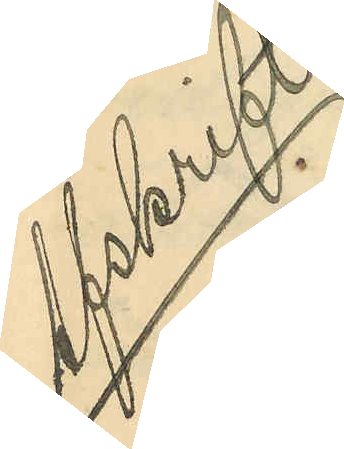Afskrift
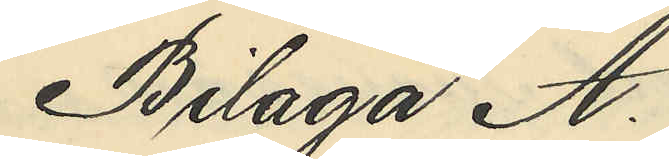Bilaga A.
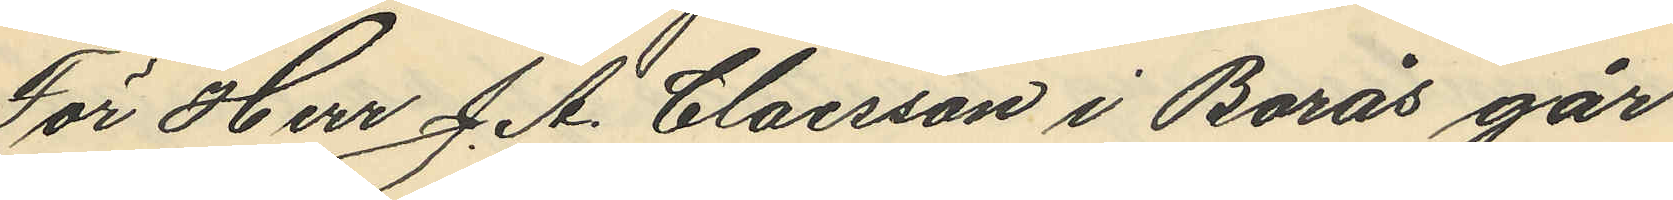För Herr J. A. Claesson i Borås går
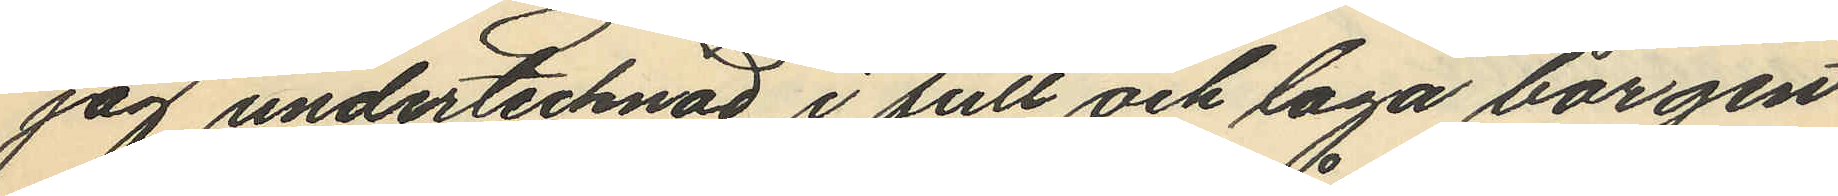jag undertecknad i full och laga borgen
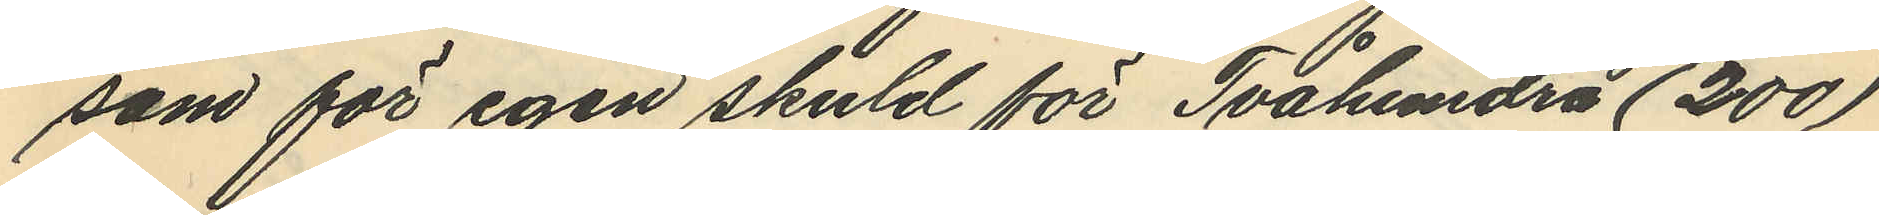som för egen skuld för Tvåhundra (200)
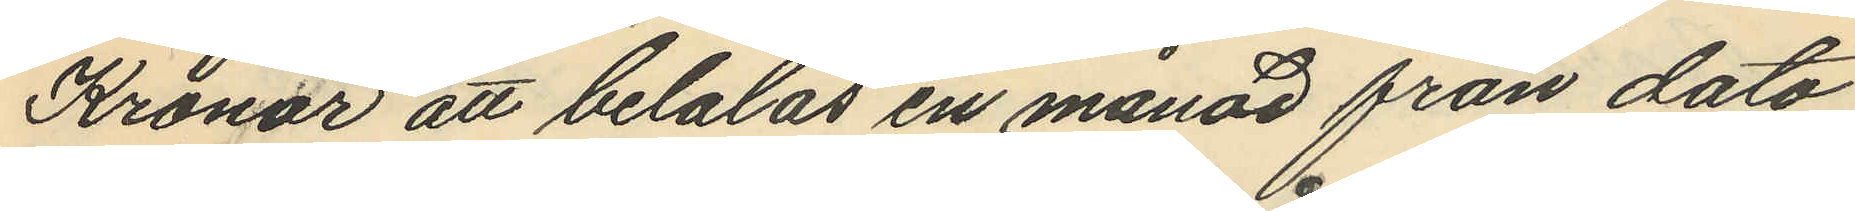Kronor att betalas en månad från dato
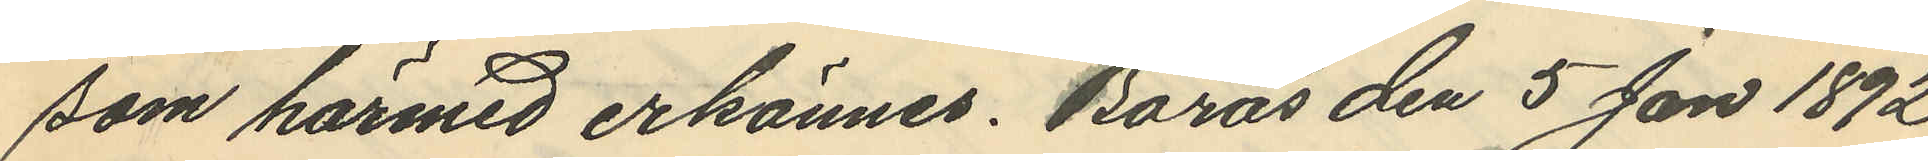som härmed erkännes. Borås den 5 Jan 1892
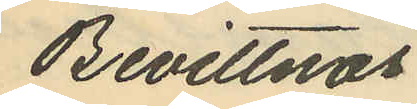Bevittnas
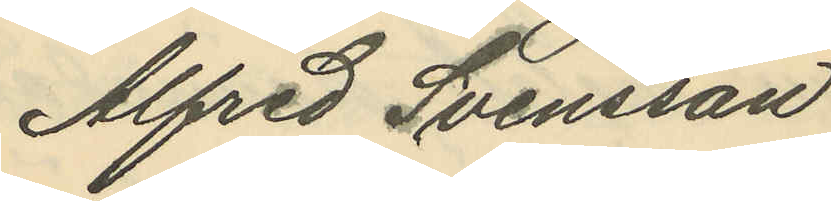Alfred Svensson
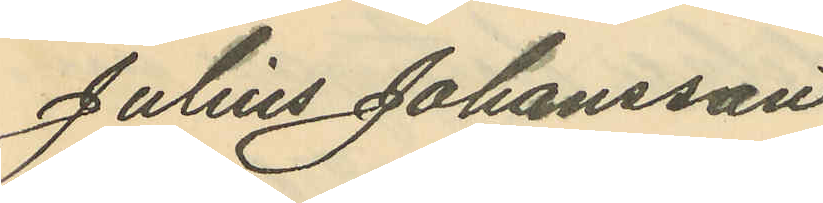Julius Johansson
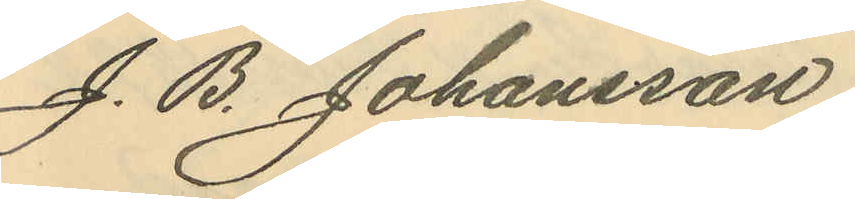J. B. Johansson.
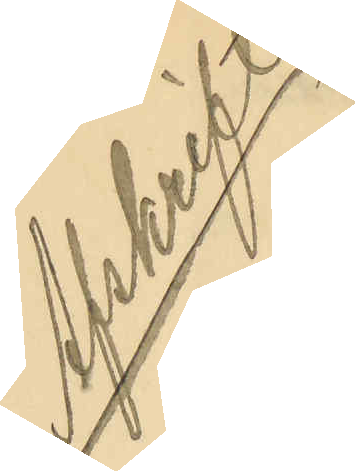Afskrift
